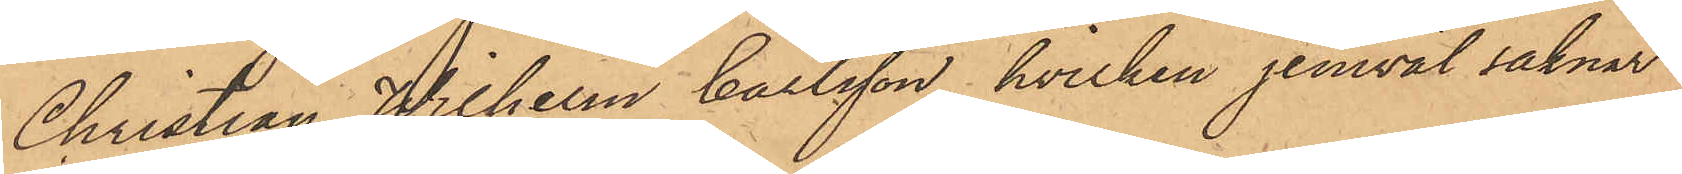Christian Wilhelm Carlsson, hvilken jemväl saknar
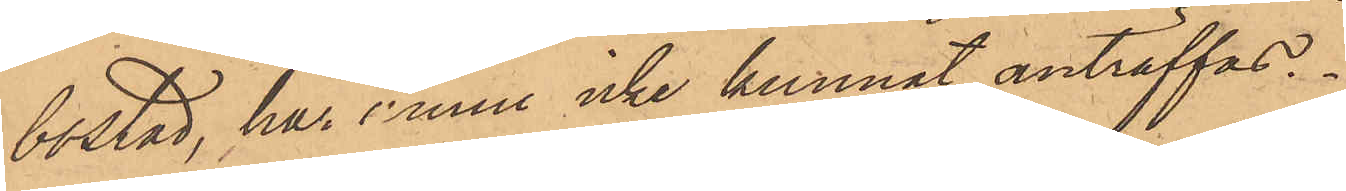bostad, ha ännu icke kunnat anträffas.
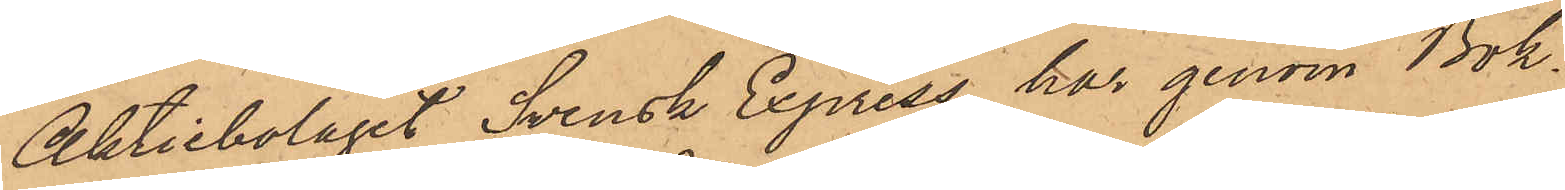Aktiebolaget Svensk Express har genom Bok¬
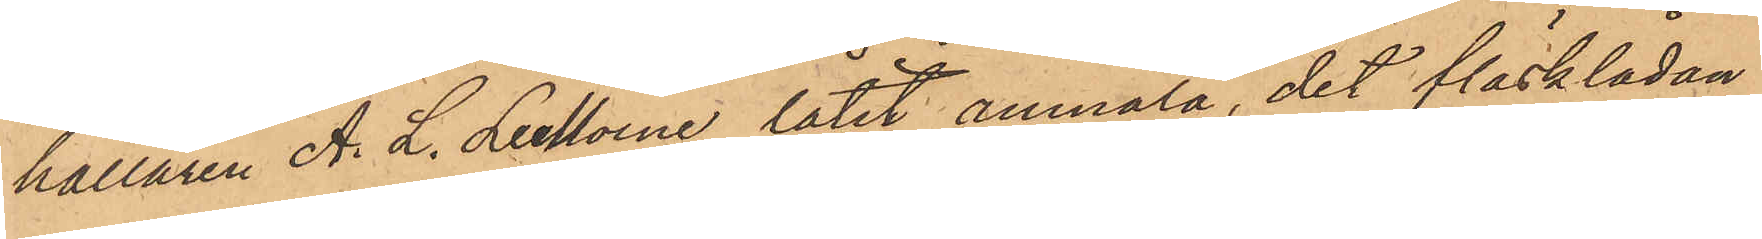hållaren A. L. Lemoine låtit anmäla, det fläsklådan
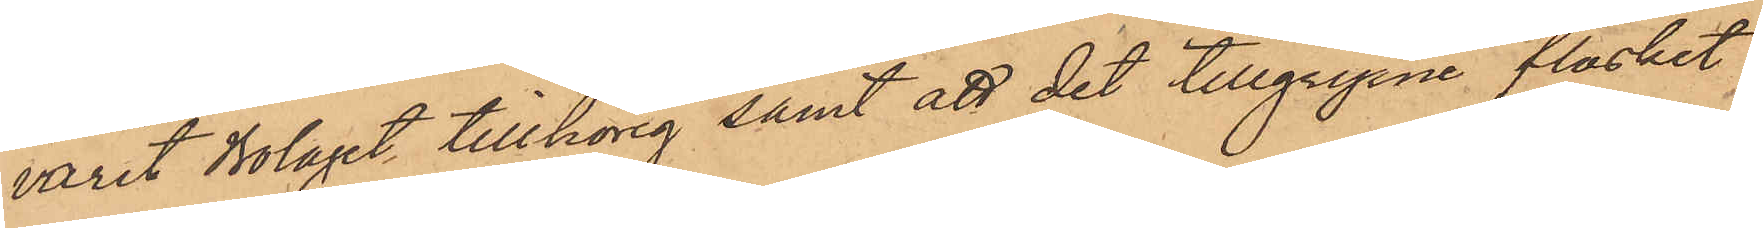varit Bolaget tillhörig samt att det tillgripne fläsket
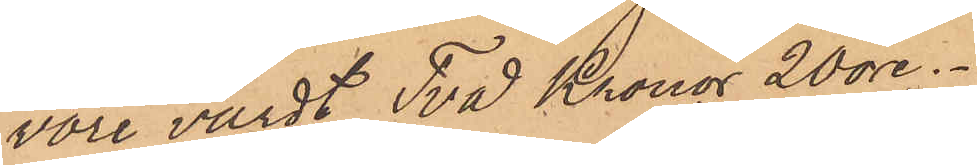vore värdt Två Kronor 20 öre.
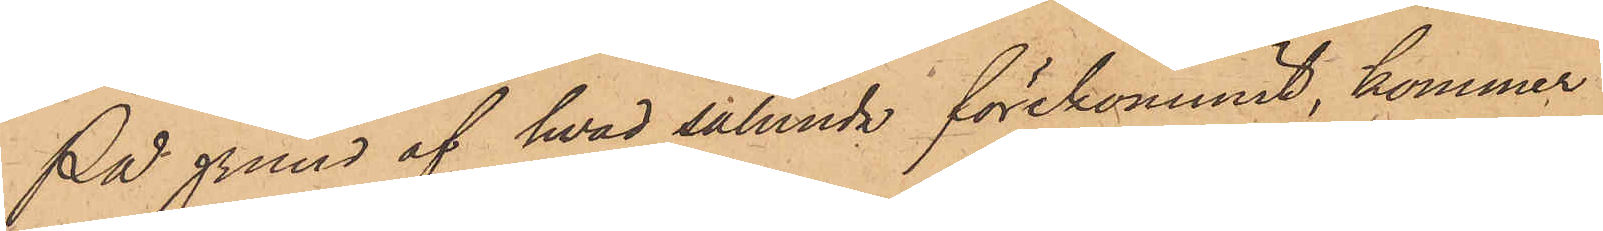På grund af hvad sålunda förekommit, kommer
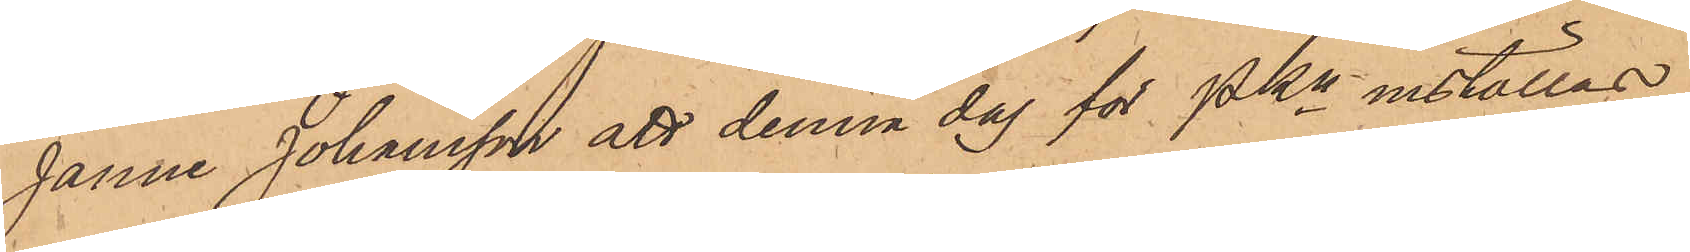Janne Johansson att denna dag för PKn inställas.
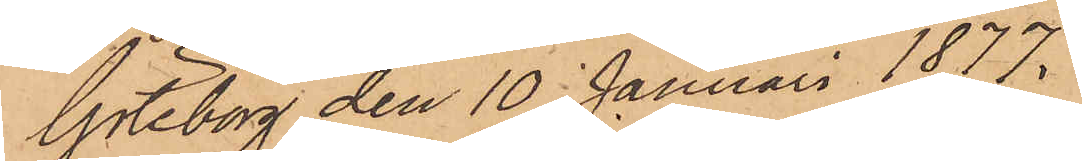Göteborg den 10 Januari 1877.
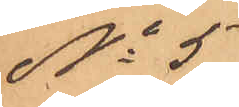No 5
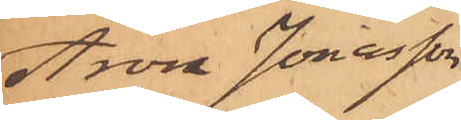Aron Jonasson
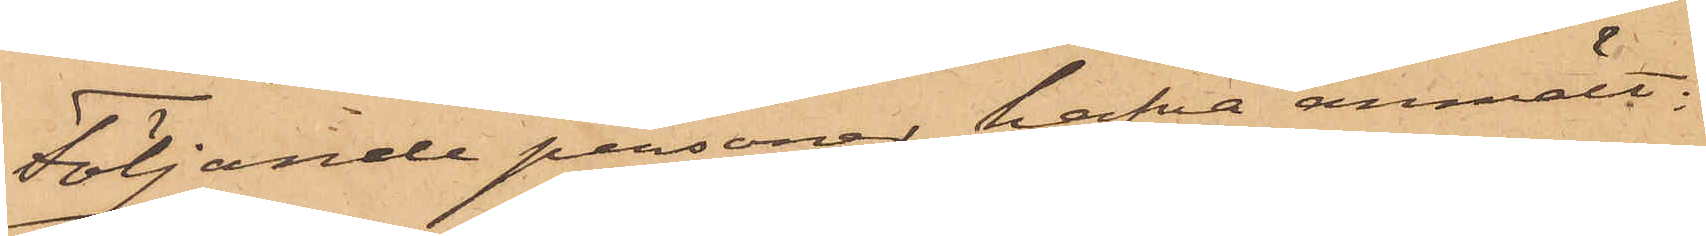Följande personer hafva anmält:
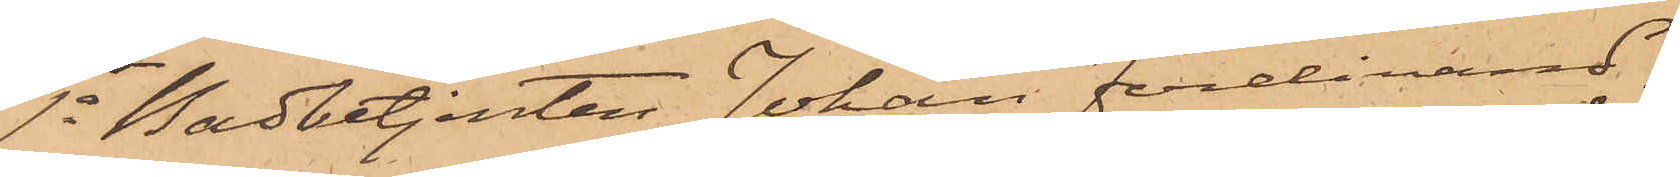1o Bodbetjenten Johan Ferdinand
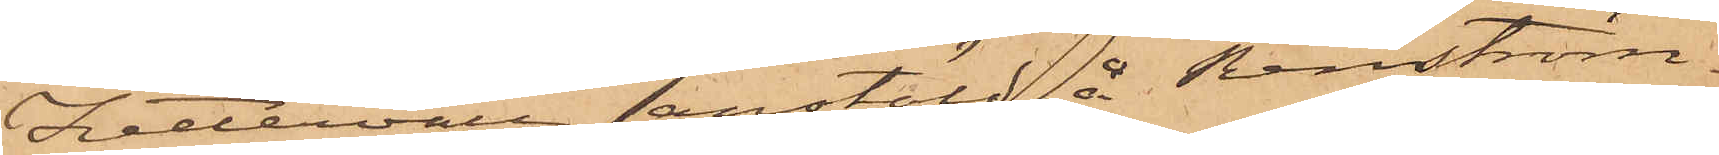Zettervall, anstäld å Renström¬
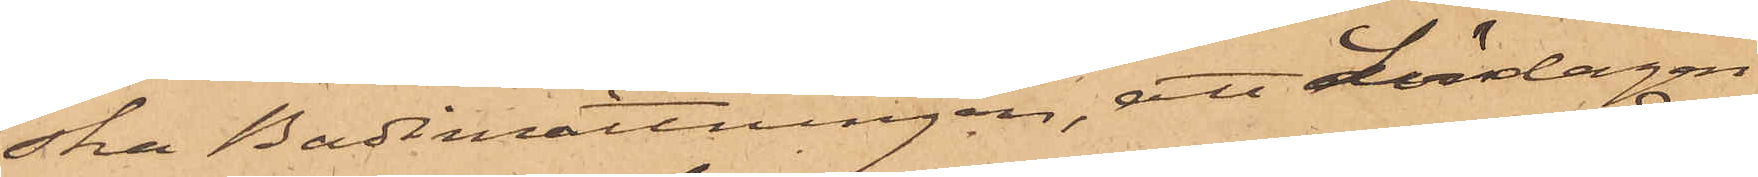ska Badinrättningen, att Lördagen
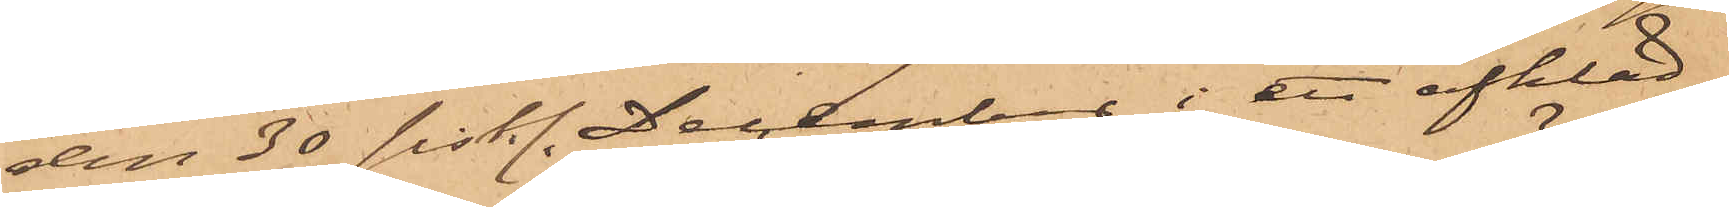den 30 sistl. December i ett afkläd¬
